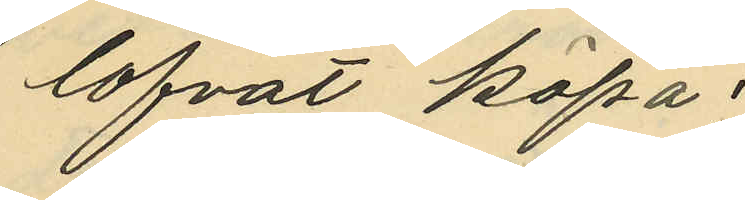lofvat köpa.
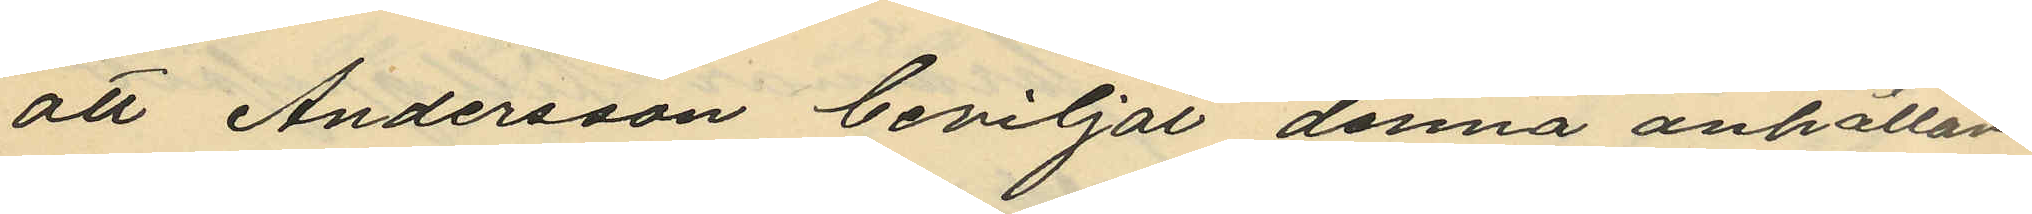att Andersson beviljat denna anhållan
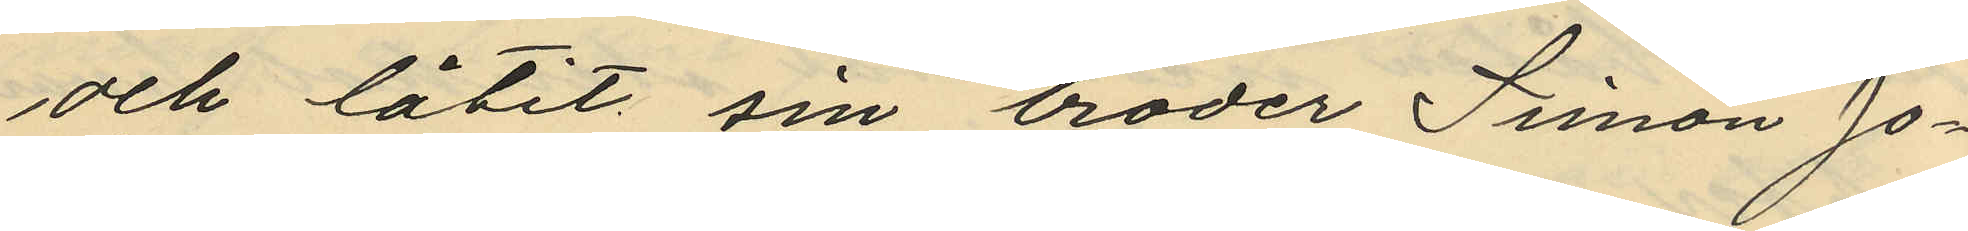och låtit sin broder Simon Jo¬
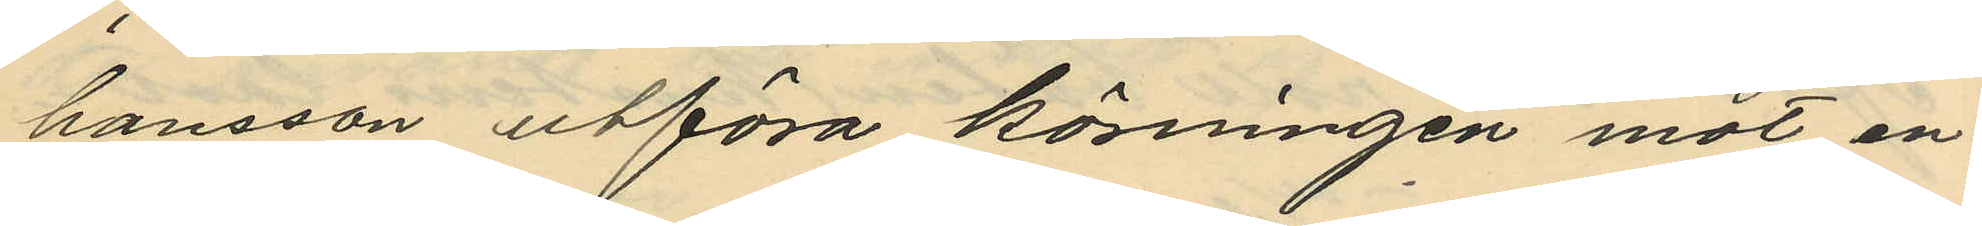hansson utföra körningen mot en
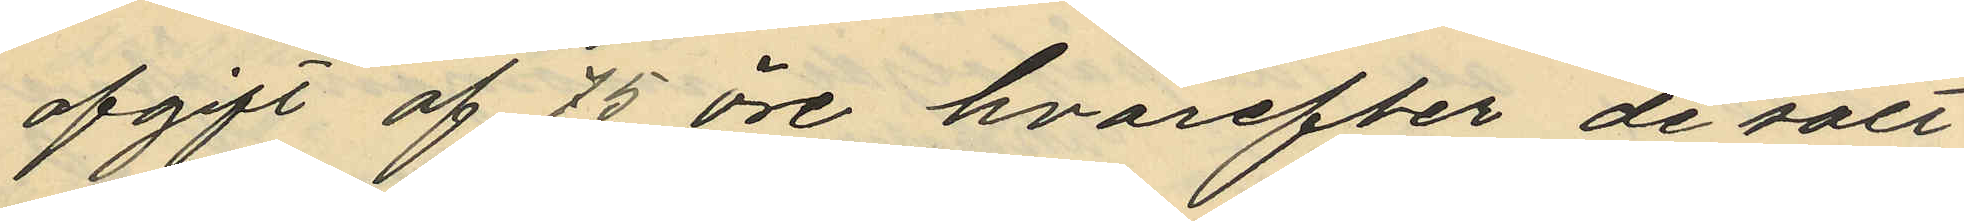afgift af 75 öre, hvarefter de sålt
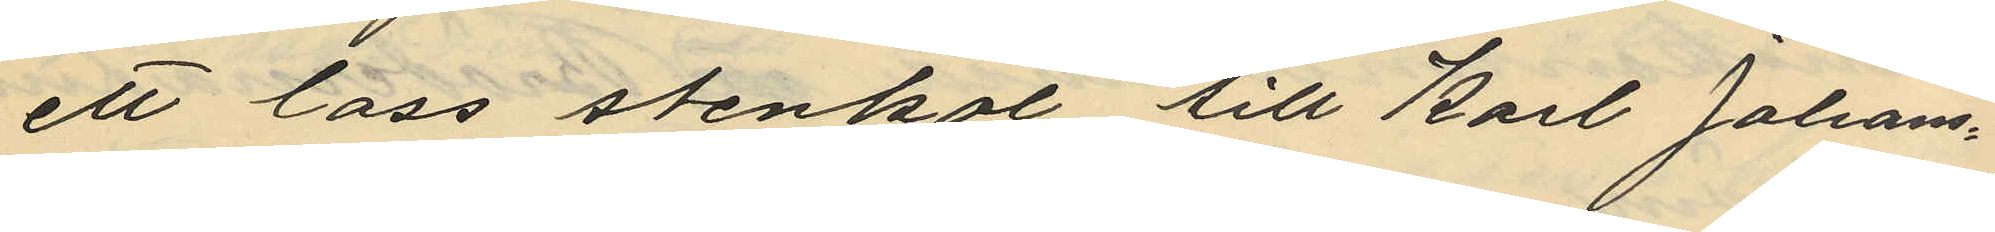ett lass stenkol till Karl Johans¬
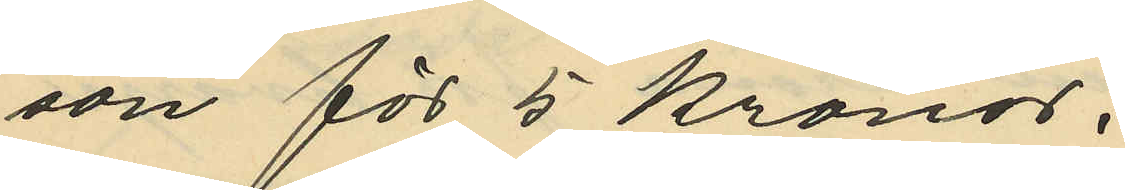son för 5 kronor.
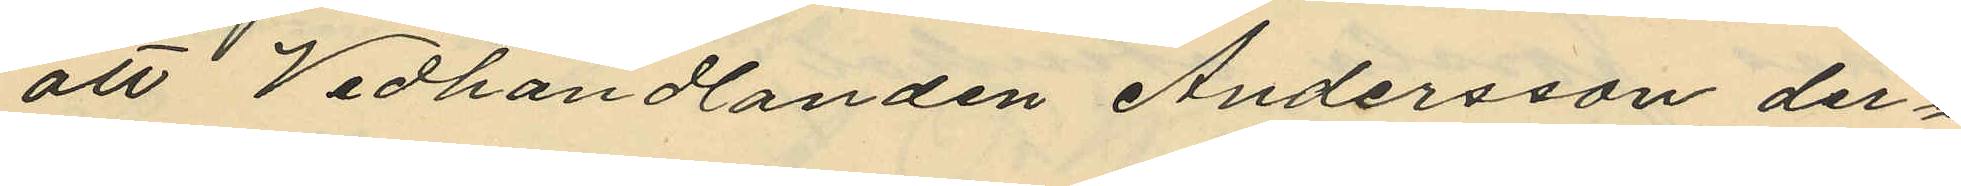att Vedhandlanden Andersson der¬
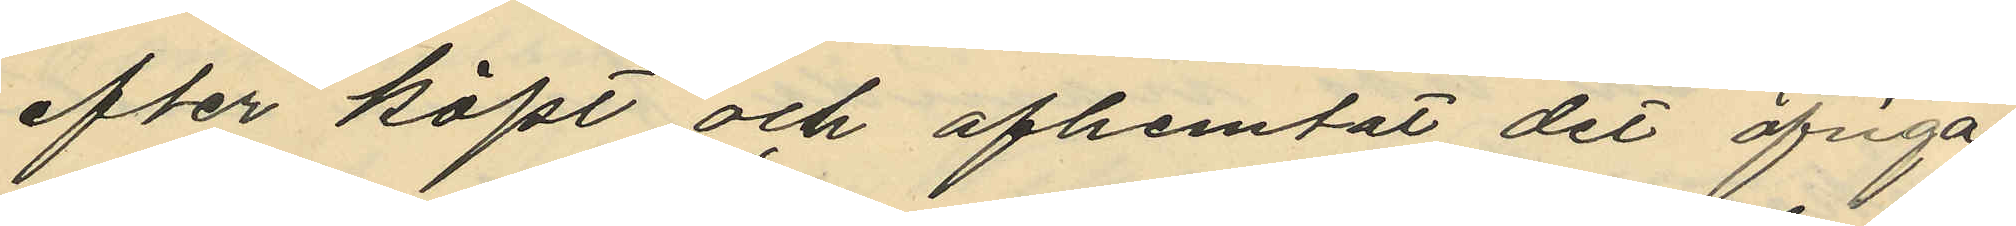efter köpt och afhemtat det öfriga
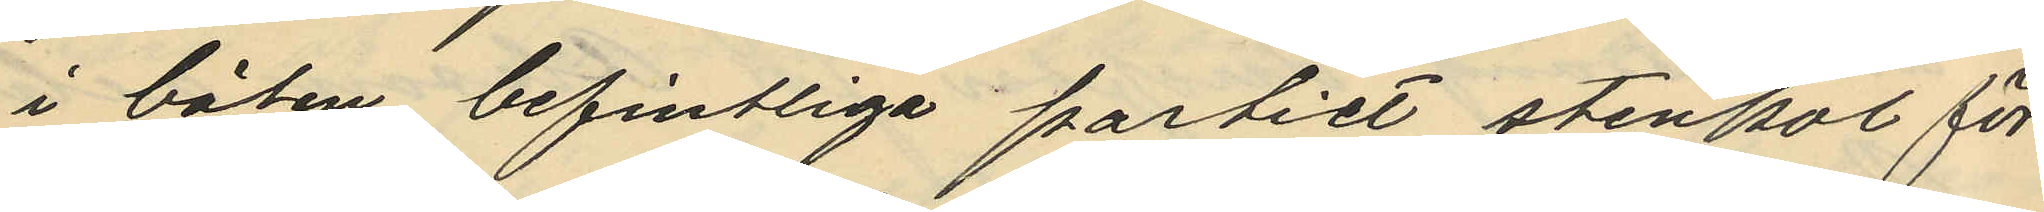i båten befintliga partiet stenkol för
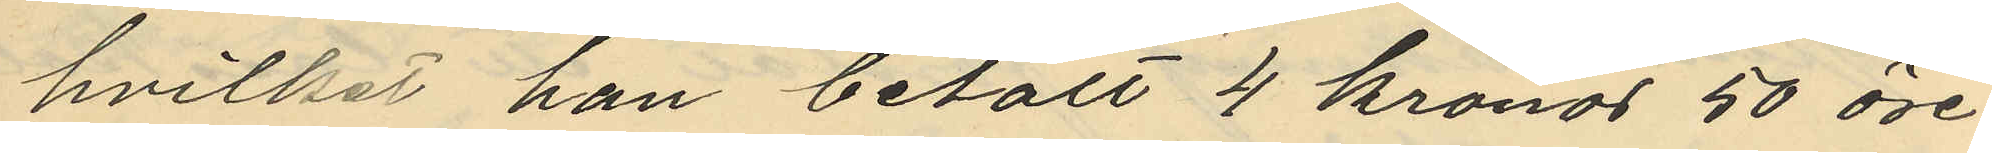hvitket han betalt 4 kronor 50 öre
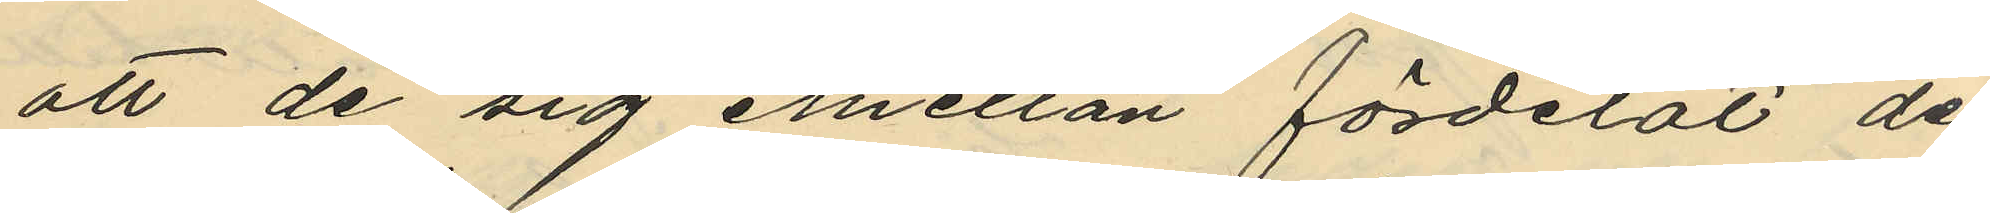att de sig emellan fördelat de
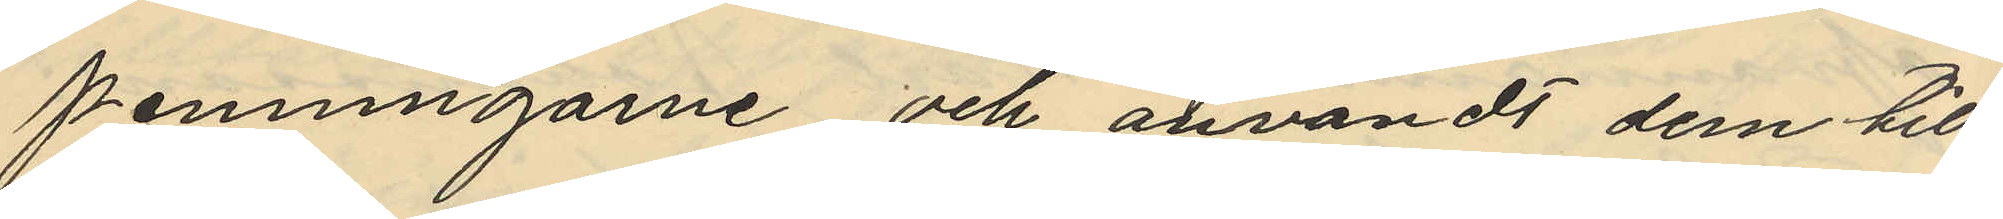penningarne och användt dem till
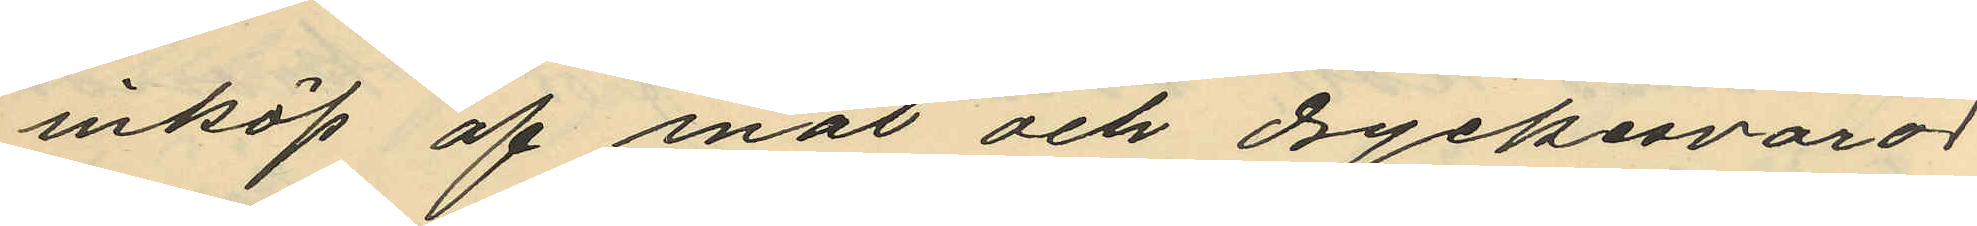inköp af mat och dryckesvaror
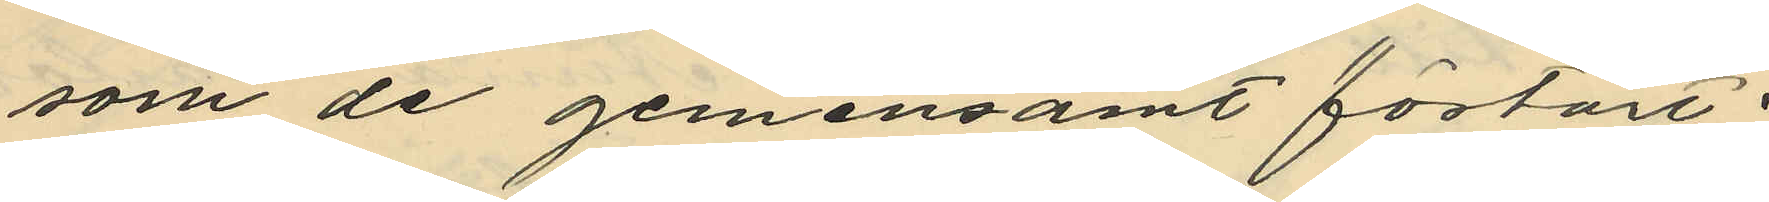som de gemensamt förtärt
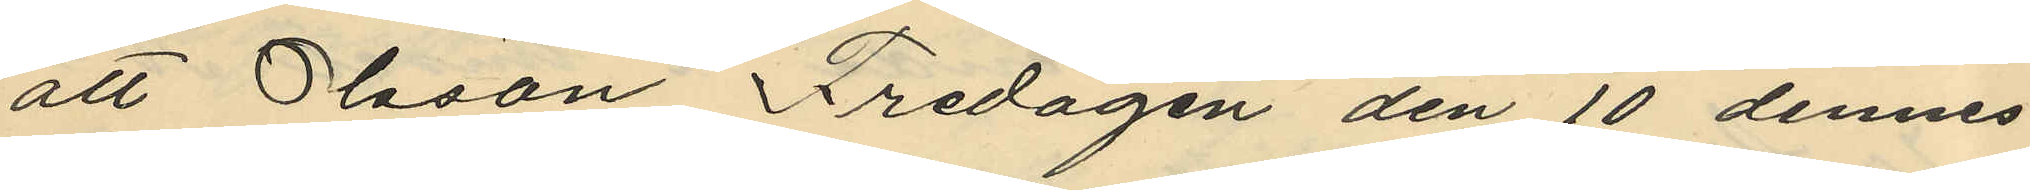att Olsson Fredagen den 10 dennes
